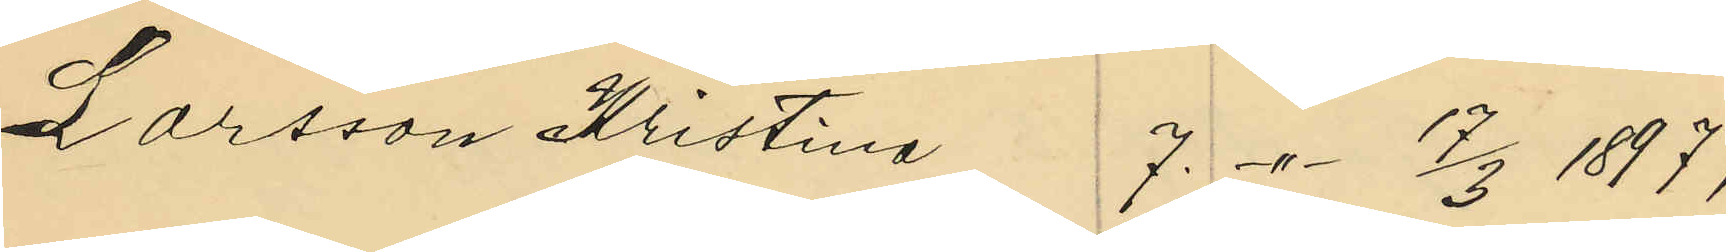Larsson Kristina 7. -"- 17/3 1897;
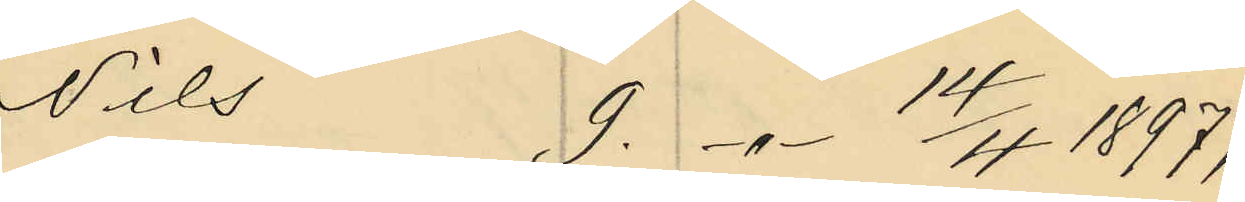Nils 9. -"- 14/4 1897;
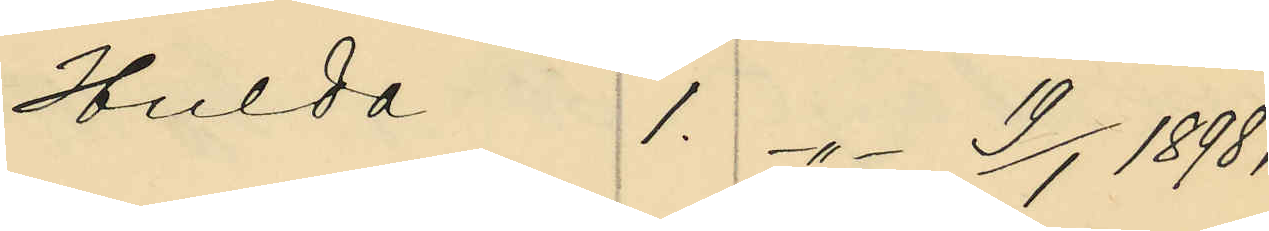Hulda 1. -"- 19/1 1898;
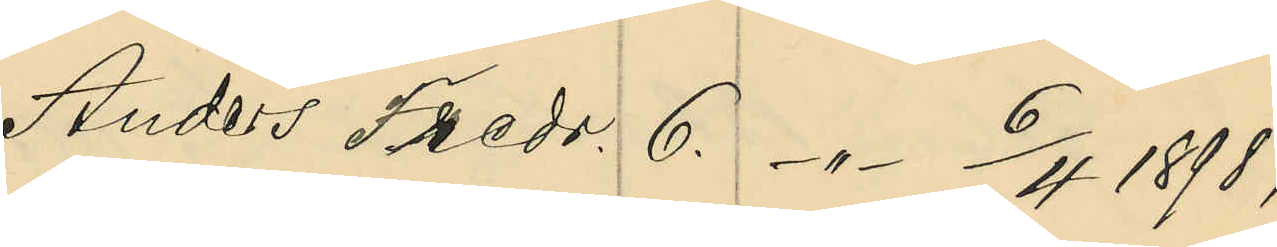Anders Fredr. 6. -"- 6/4 1898;
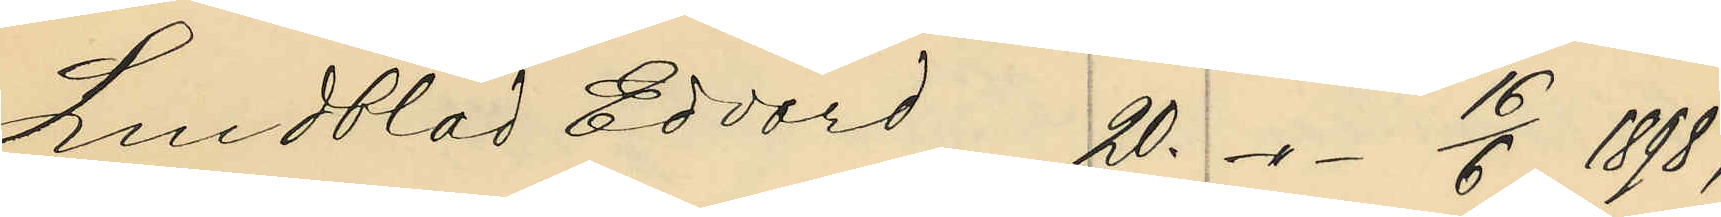Lundblad Edvard 20. -"- 16/6 1898;
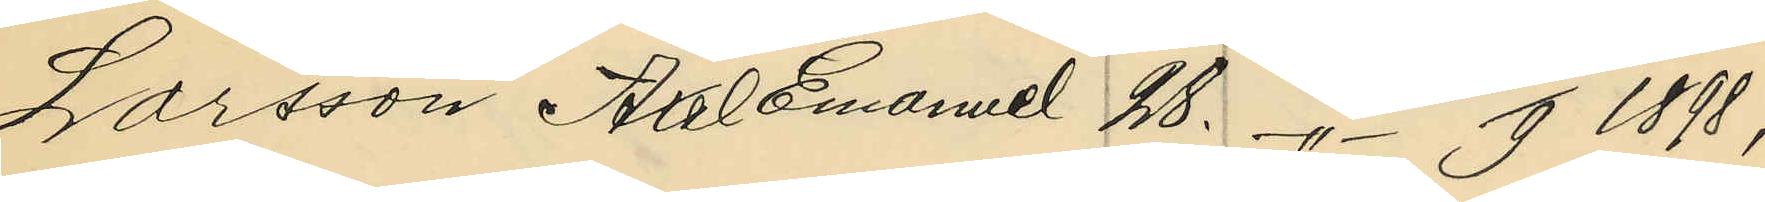Larsson Axel Emanuel 28. -"- 20/9 1898;
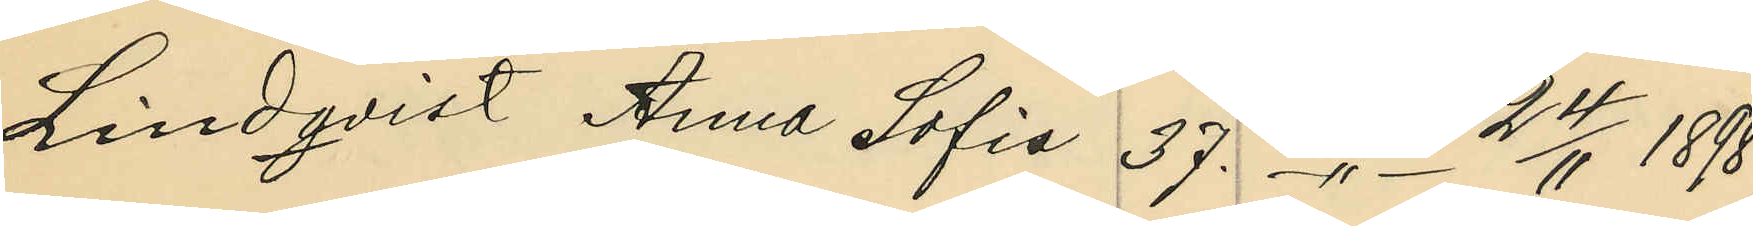Lindqvist Anna Sofia 37. -"- 24/11 1898;
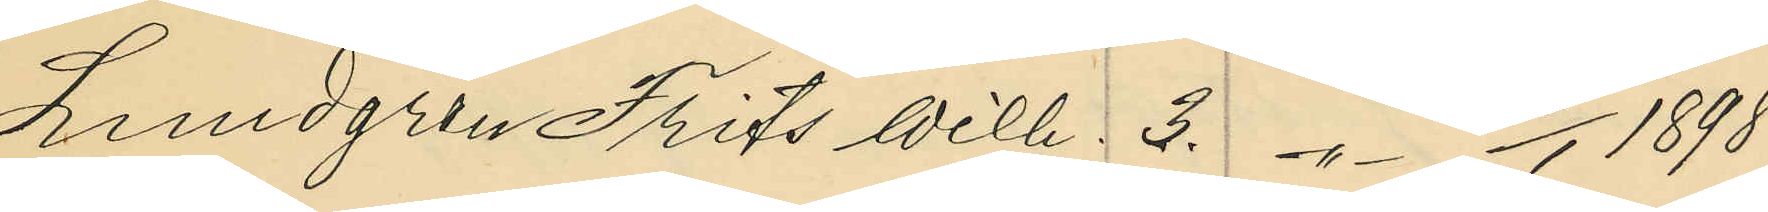Lundgren Frits Wilh. 3. -"- 16/1 1898;
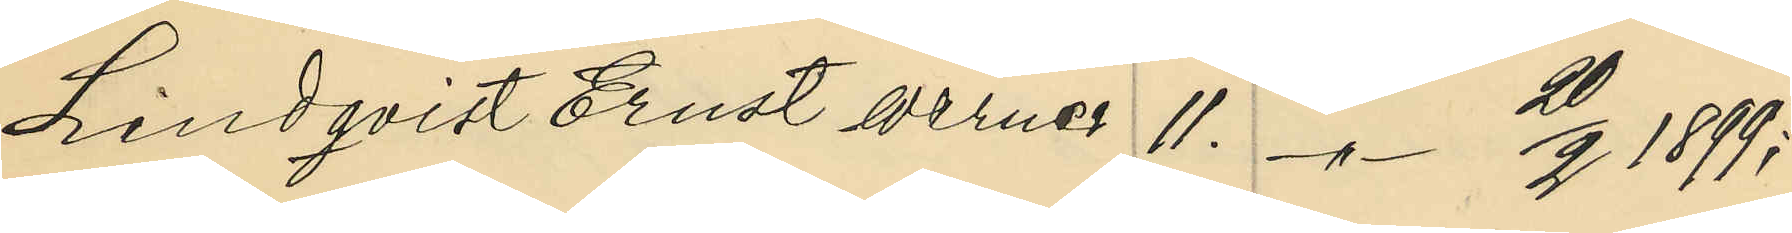Lindqvist Ernst Werner 11. -"- 20/2 1899;
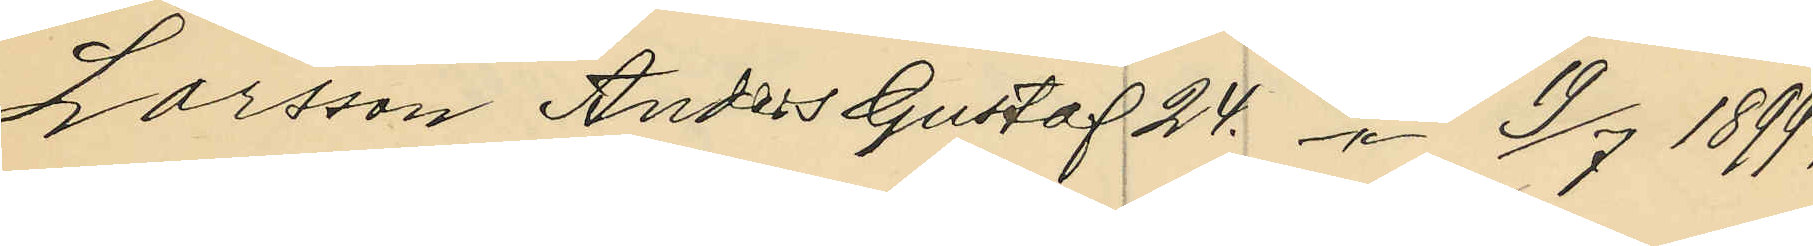Larsson Anders Gustaf 24. -"- 19/7 1899;
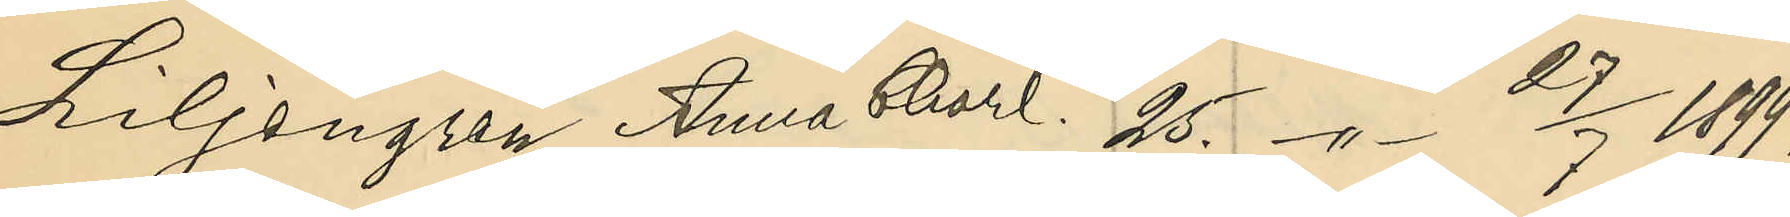Liljegren Anna Charl. 25. -"- 27/7 1899.
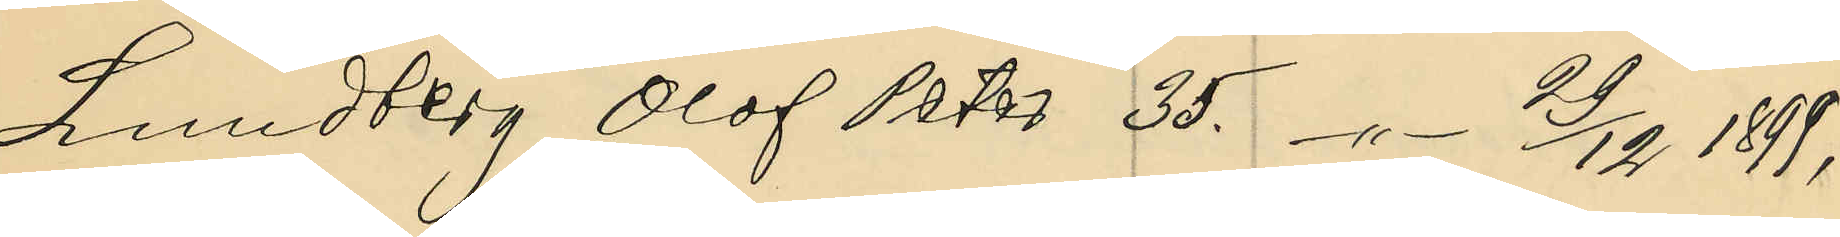Lundberg Olof Peter 35. -"- 29/12 1899;
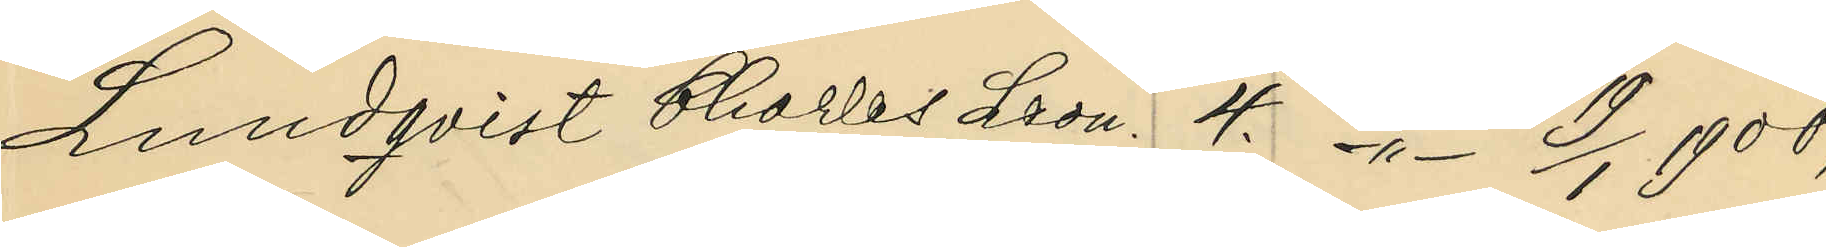Lundqvist Charles Leon. 4. -"- 19/1 1900;
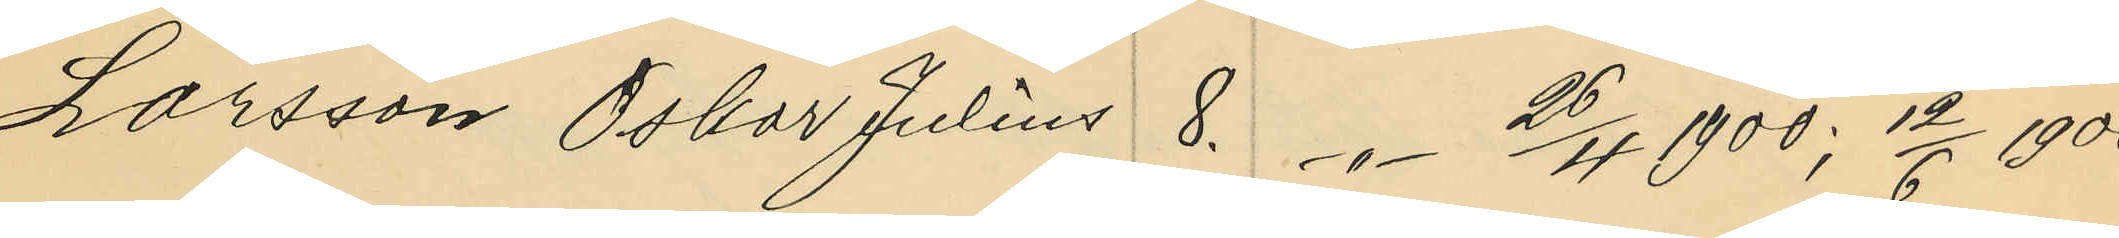Larsson Oskar Julius 8. -"- 26/4 1900; 12/6 1900;
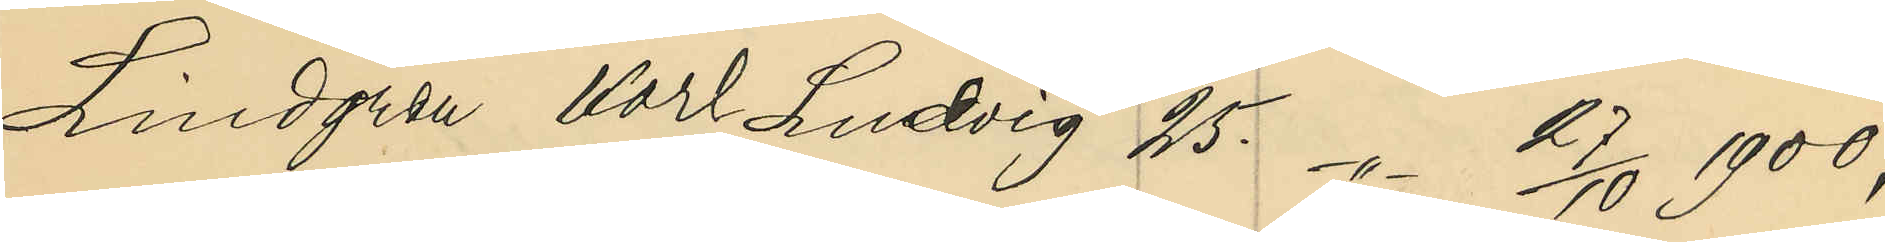Lindgren Karl Ludvig 25. -"- 27/10 1900;
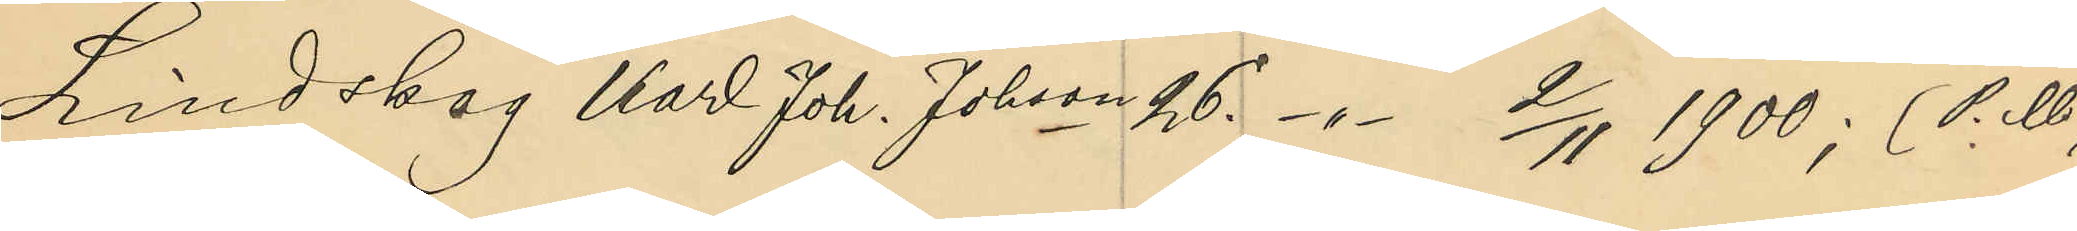Lindskog Karl Joh. Johson 26. -"- 2/11 1900; (P. U)
